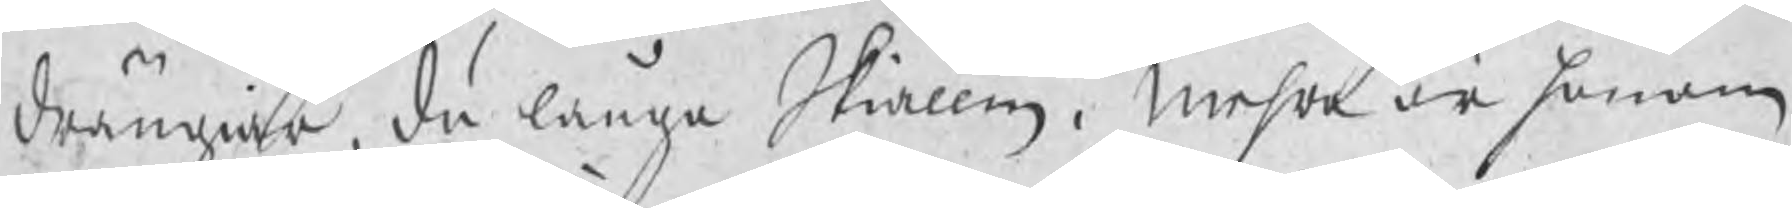drängiar, du långa Skiällm. Mehra är honom
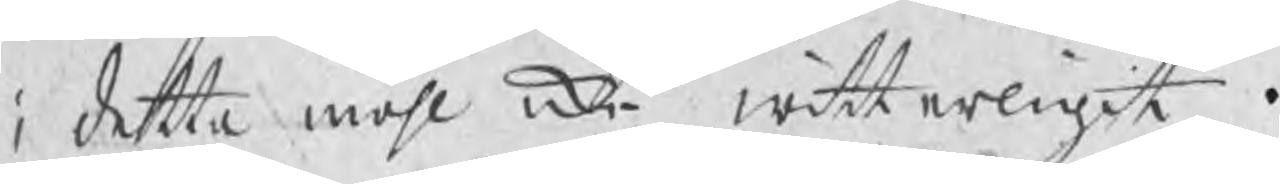i detta måhl icke witterligit.
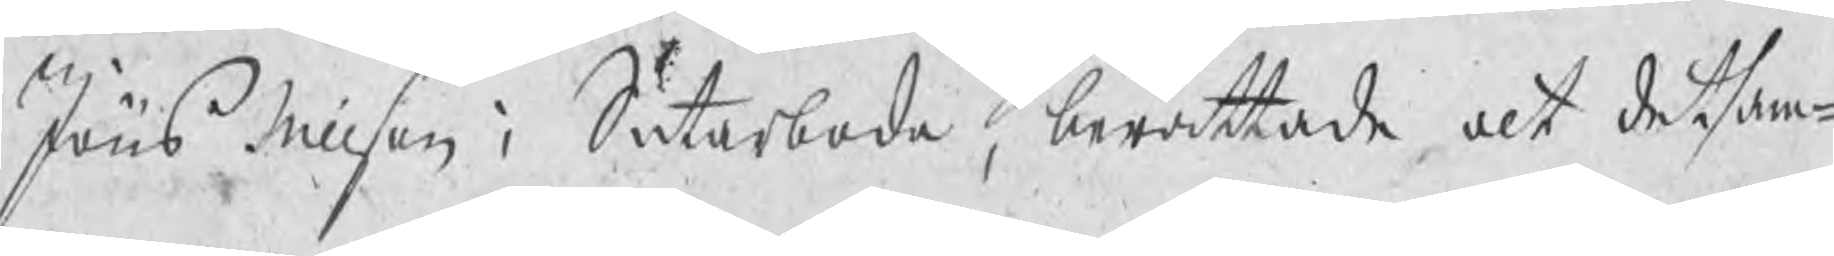Jöns Nillson i Sutarboda, berättade alt detsam¬
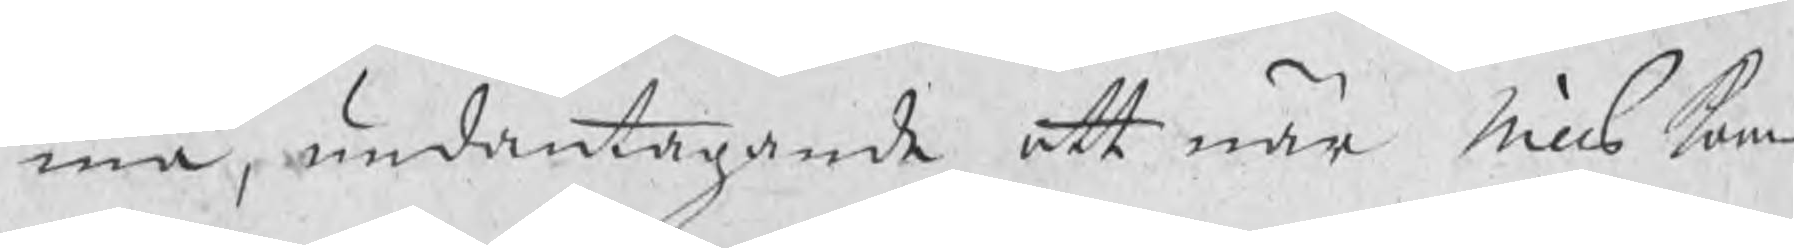ma, undantagande att när Nills kom¬
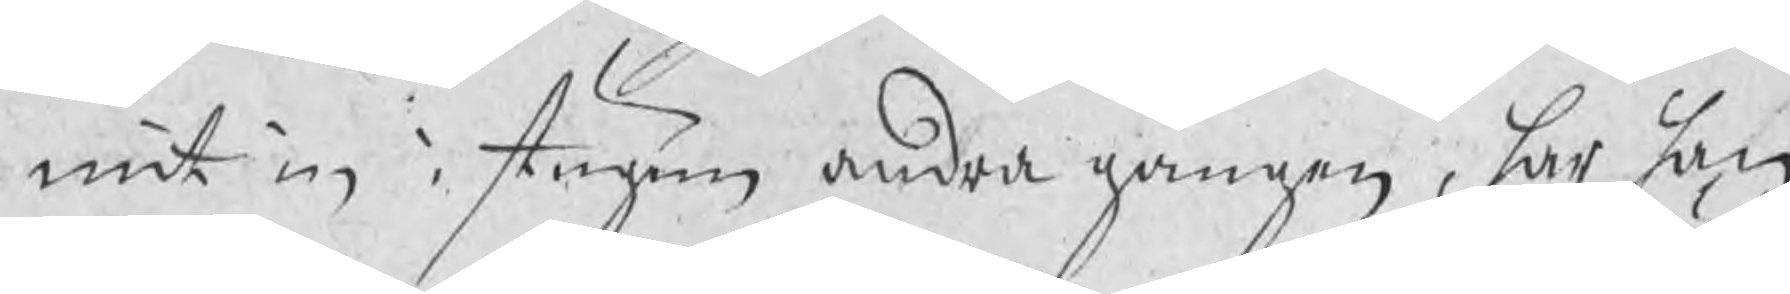mit in i stugun andra gången, har han
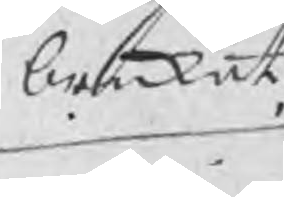brukat
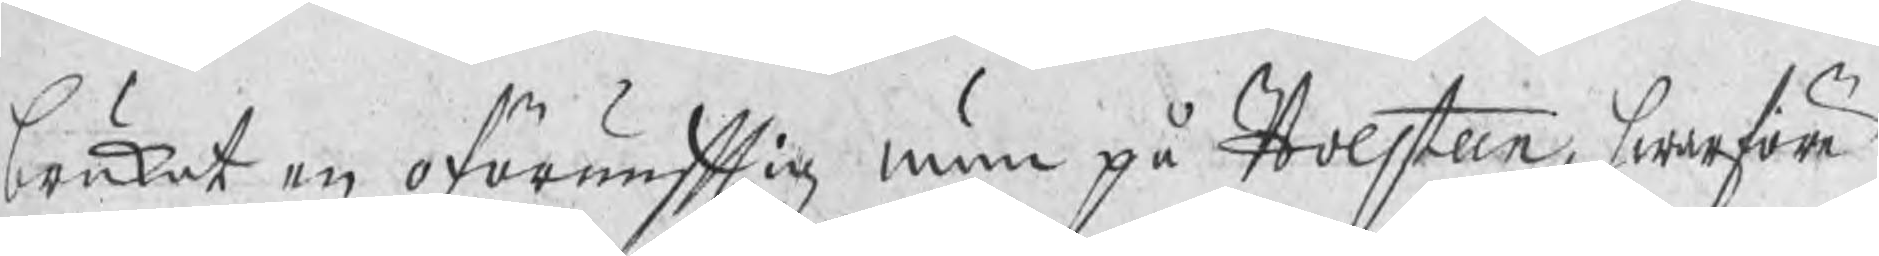brukat en oförnuftig mun på Holsteen, hwarföre
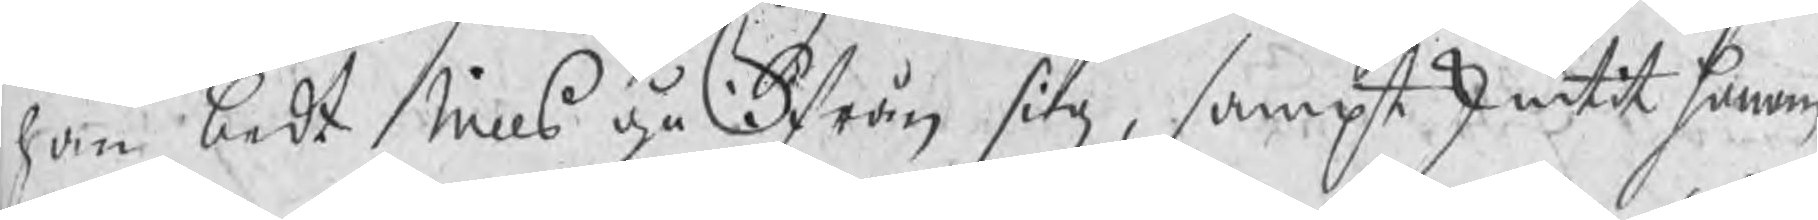han bedt Nills gå ifrån sig, sampt skiutit honom
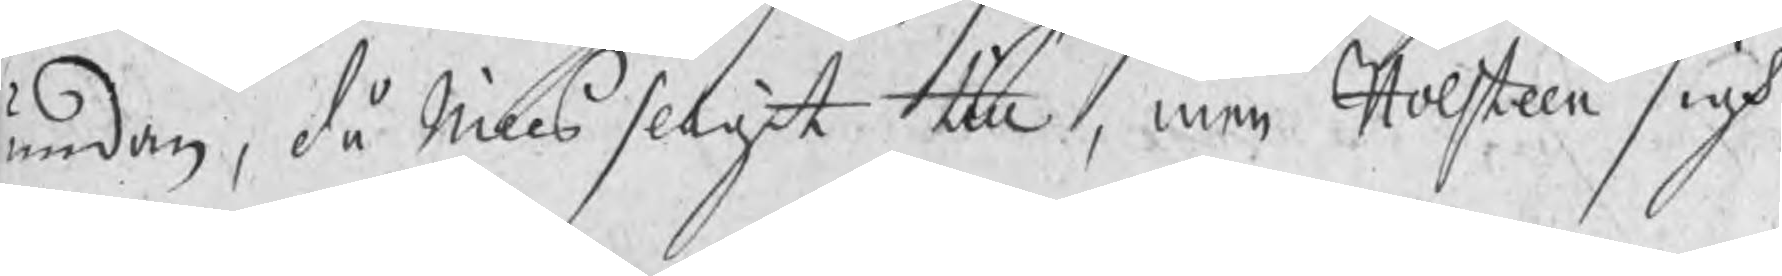undan, då Nills slagit till, men Holsteen sigh
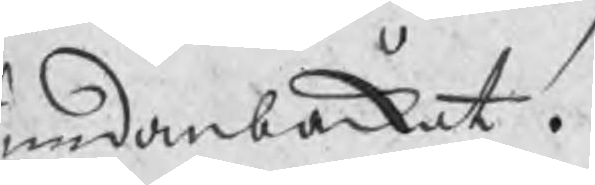undanbackat.
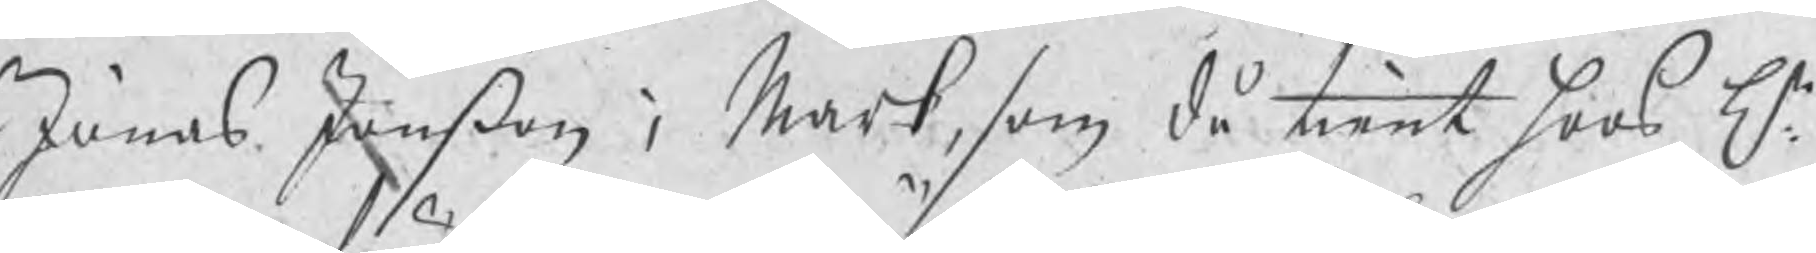Jonas Jonßon i Mark, som då tient hoos Hr
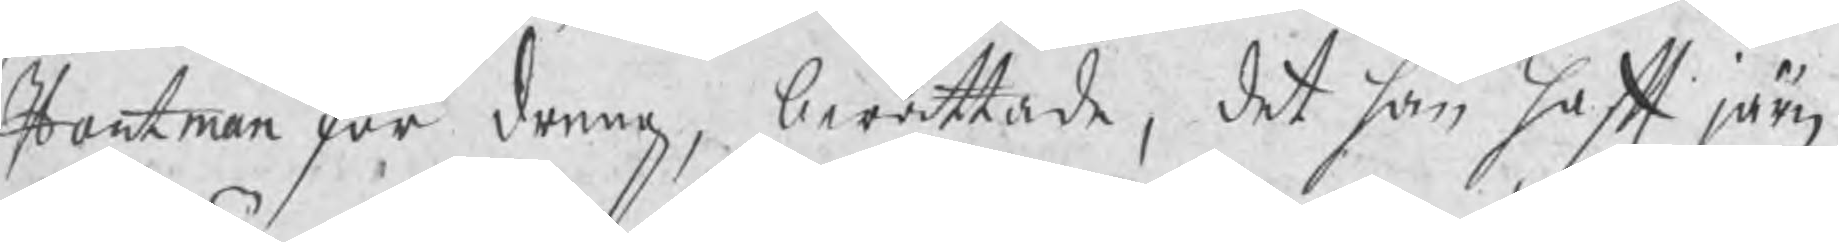Hartman för denne, berättade, det han haft järn
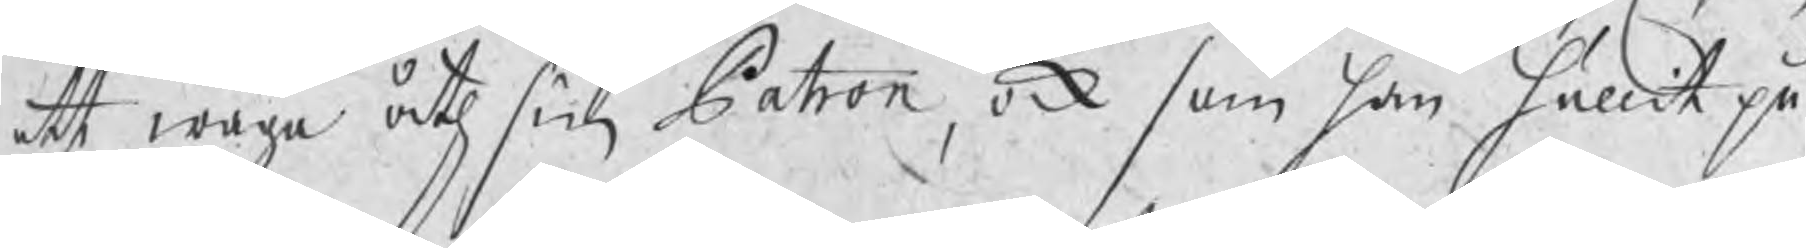att wäga åth sin Patron, ock som han hållit på
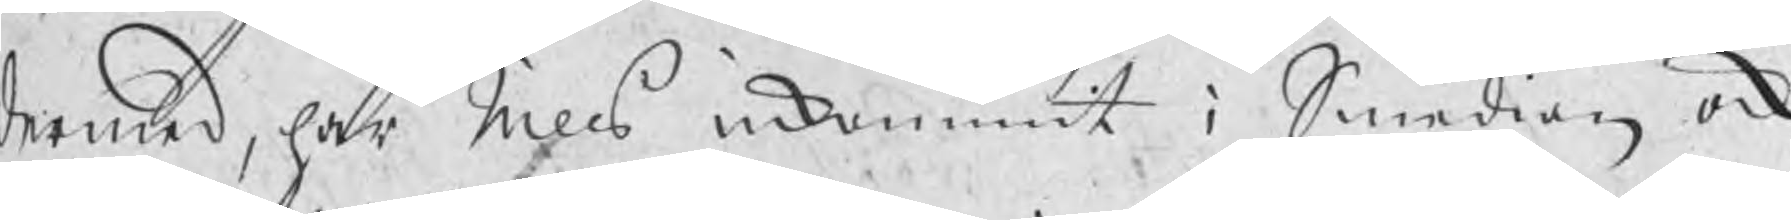dermed, har Nills inkommit i Smedian ock
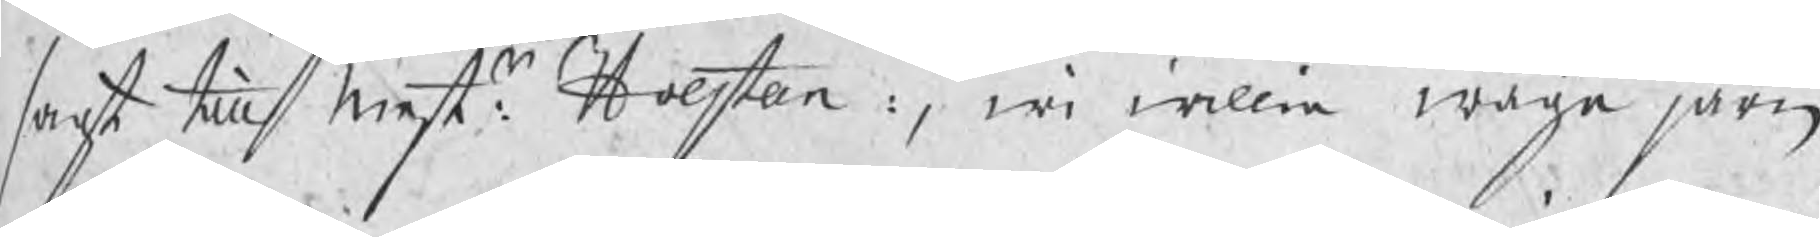sagt till Mestr Holsten:, wi willia wäga järn
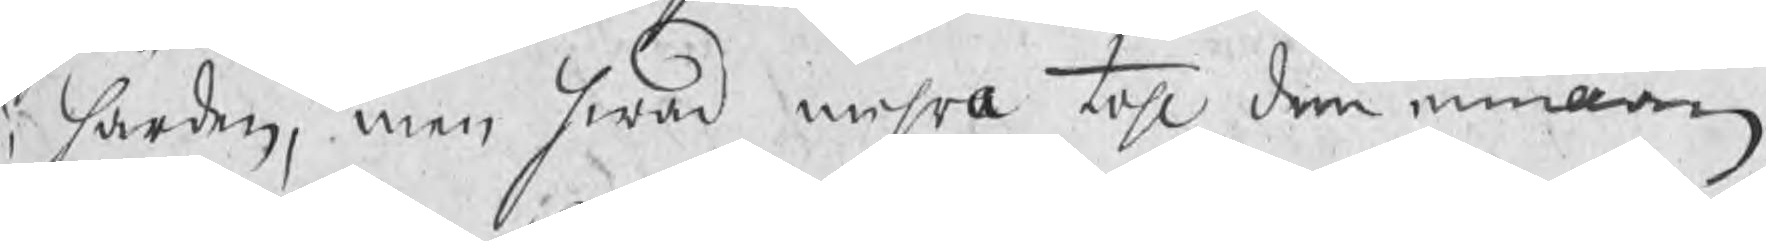i härden, men hwad mehra tahl dem emillan
